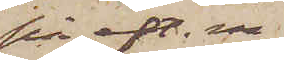på eft. m.
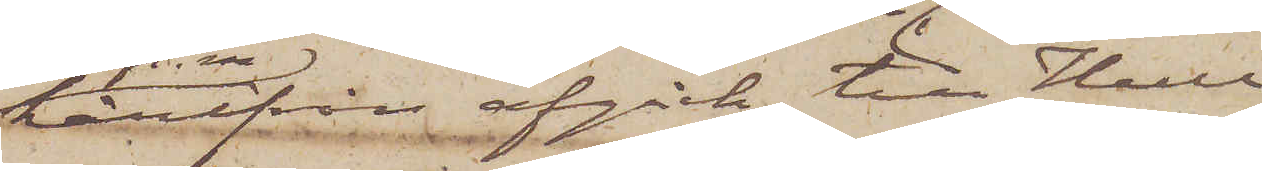härifrån afgick till Hull
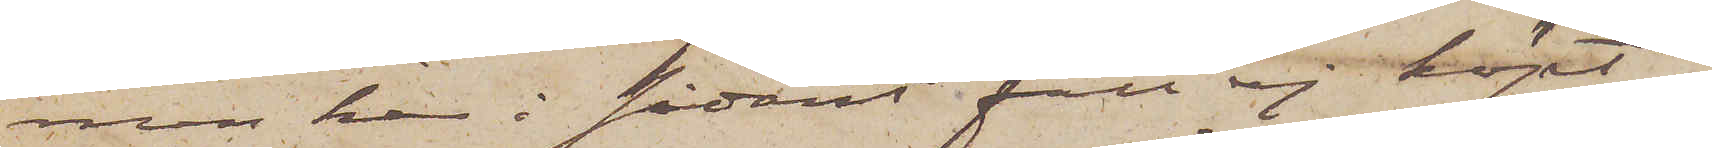men har i sådant fall ej köpt
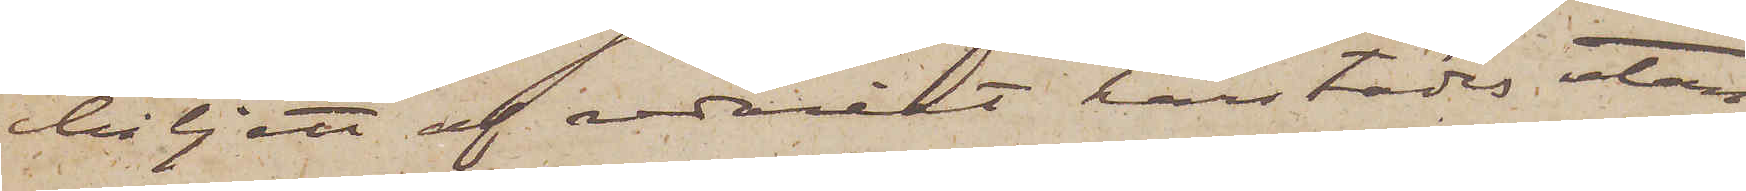biljett af rederiet härstädes utan
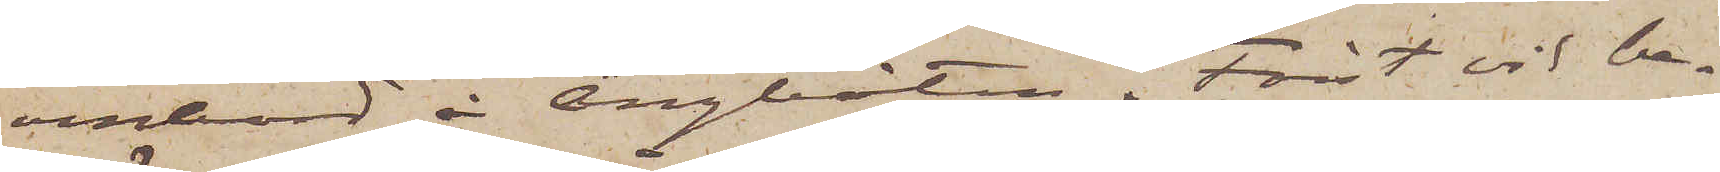ombord å Ångbåten. Först vid be¬
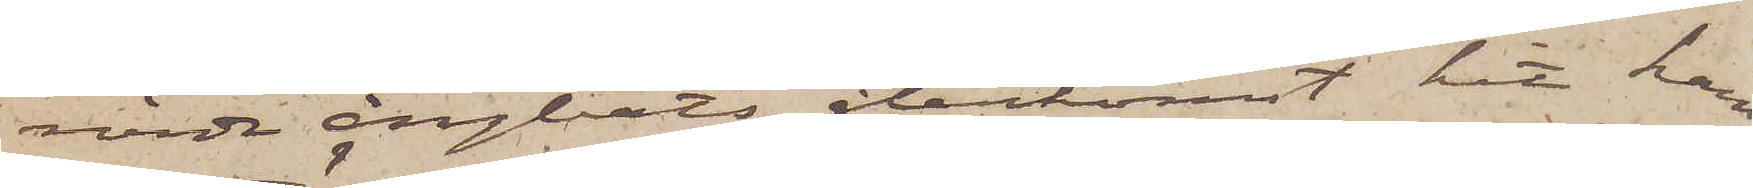rörde ångbåts återkomst hit kan
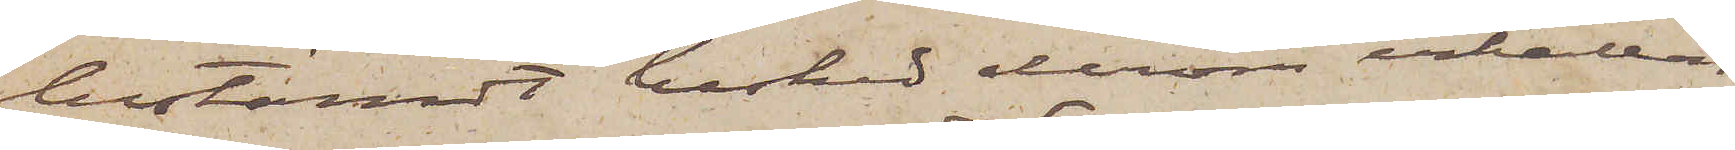bestämdt besked derom erhållas.
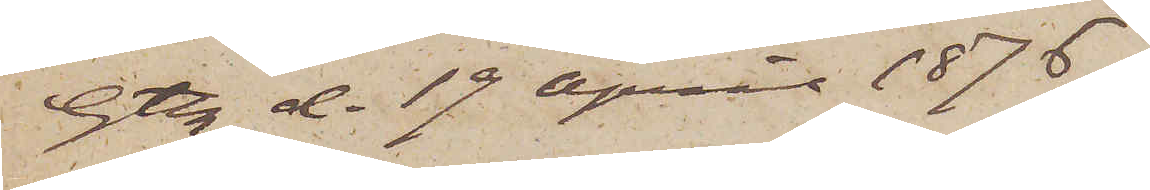Gtbg d. 19 April 1876.
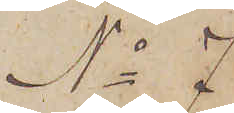No 7
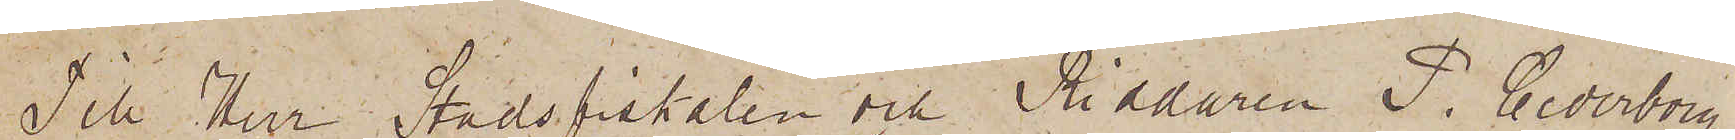Till Herr Stadsfiskalen och Riddaren P. Cederborg.
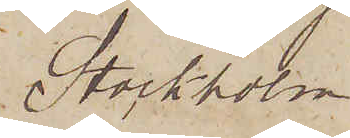Stockholm.
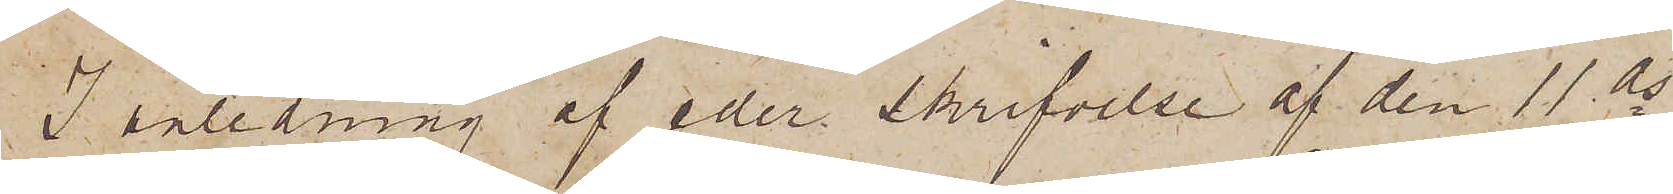I anledning af eder skrifvelse af den 11 ds
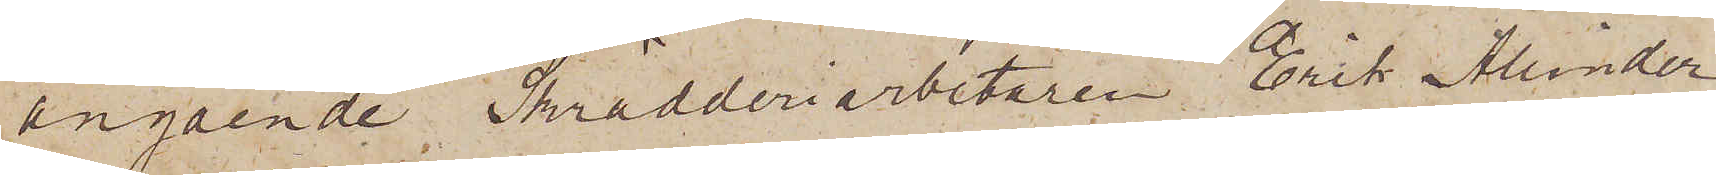angående Skrädderiarbetaren Erik Alinder
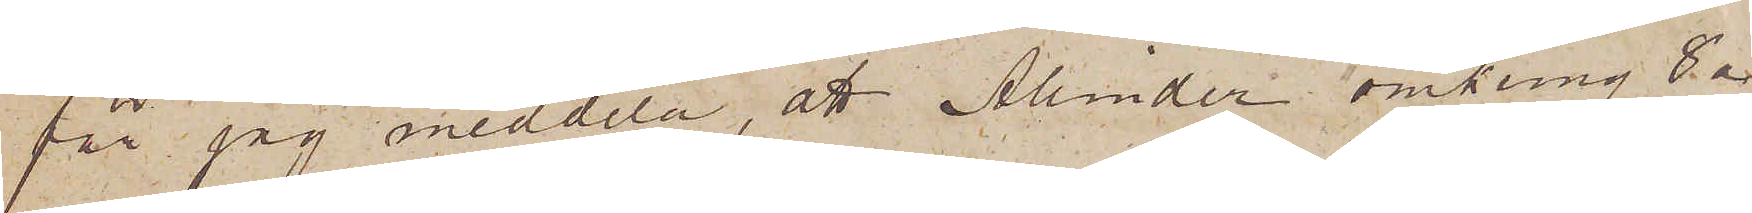får jag meddela, att Alinder omkring 8 a
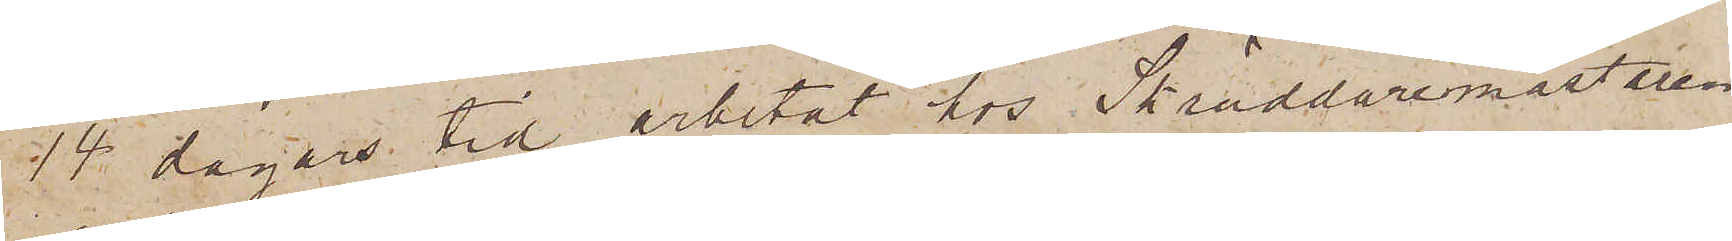14 dagars tid arbetat hos Skräddaremästaren
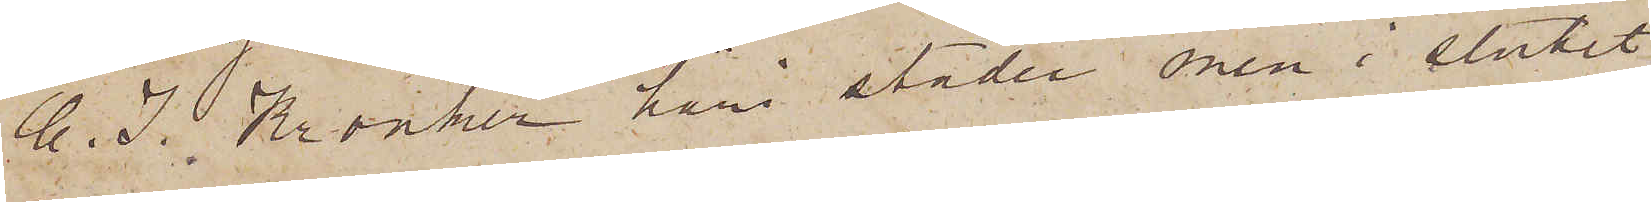C. J. Kronker häri staden men i slutit
